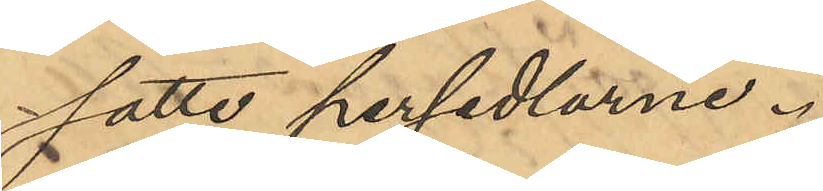satte persedlarne.
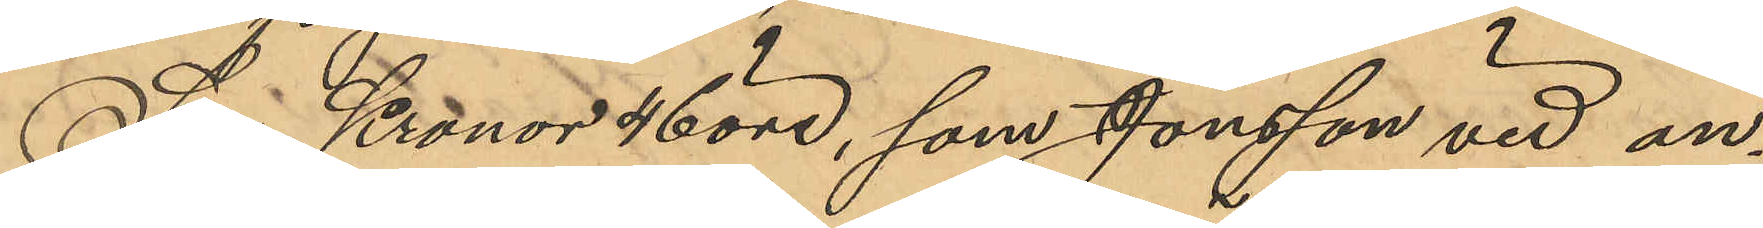Sju Kronor 46 öre, som Jonsson vid an¬
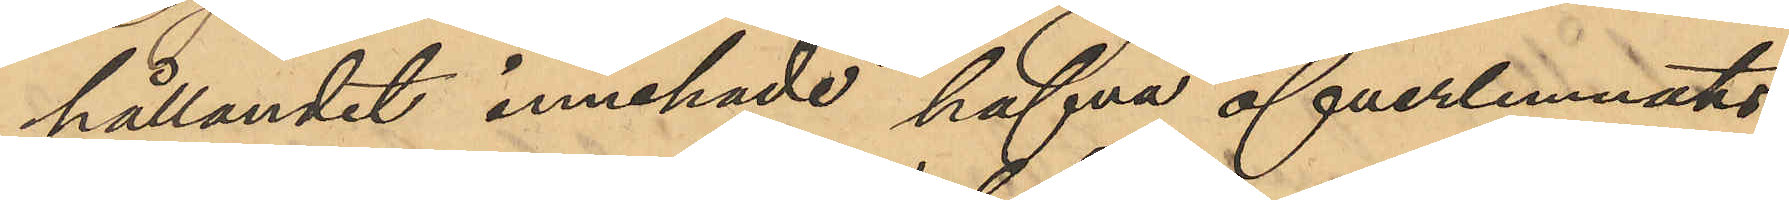hållandet innehade hafva öfverlemnats
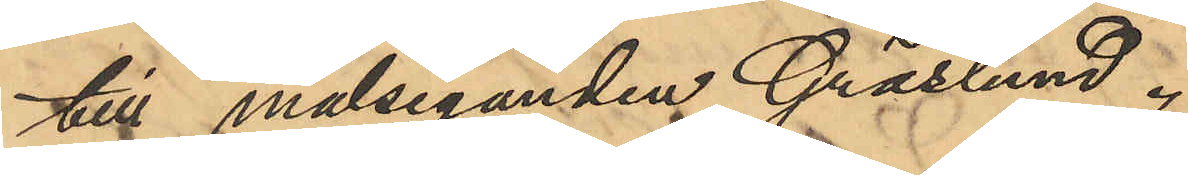till målseganden Gräslund.
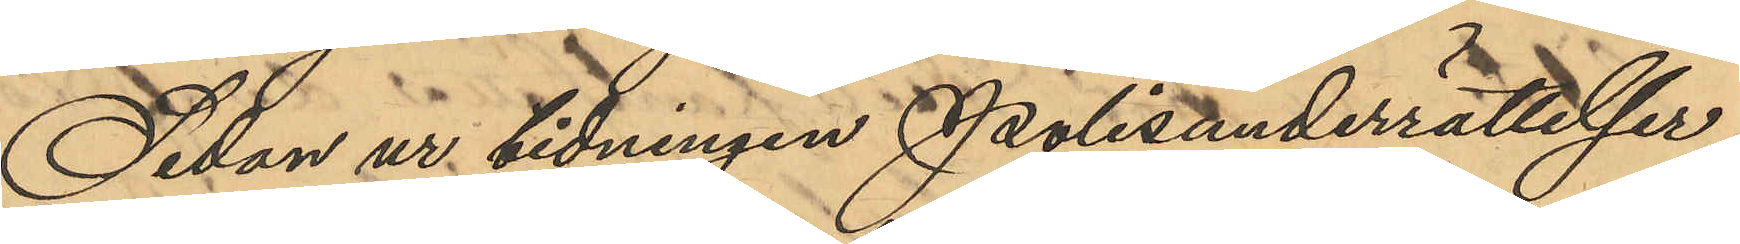Sedan ur tidningen Polisunderrättelser 
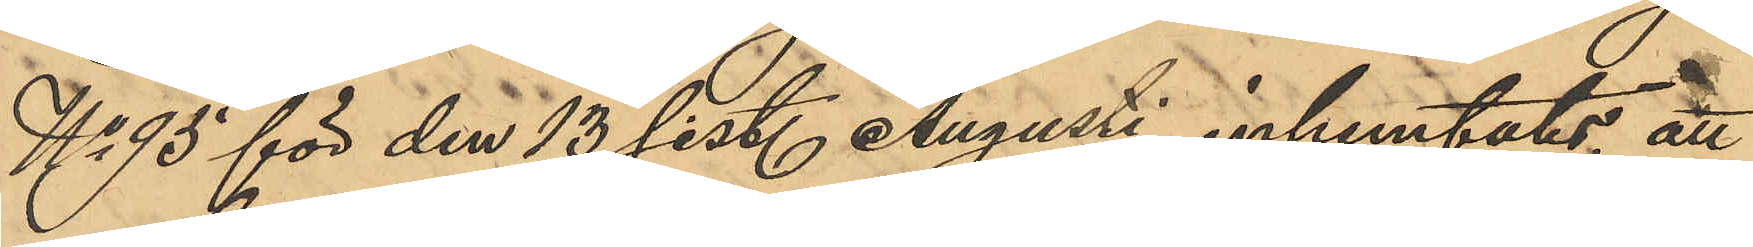No 95 för den 13 sist. Augusti inhemtats, att
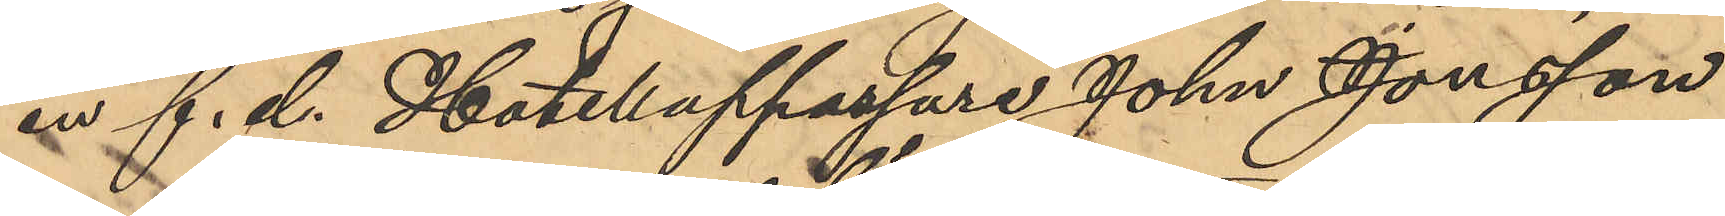en f. d. Hotellappassare John Jonsson
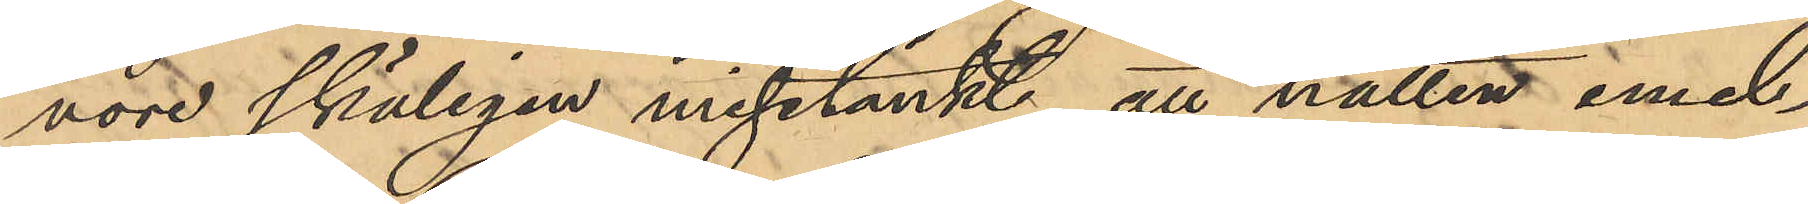vore skäligen misstänkt, att natten emel¬
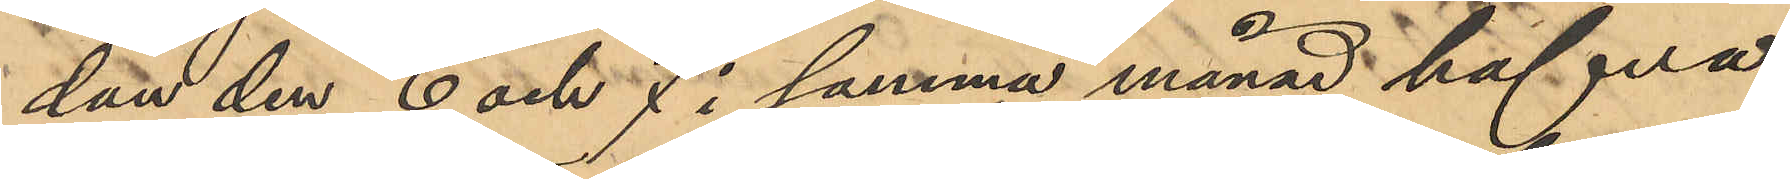dan den 6 och 7 i samma månad hafva
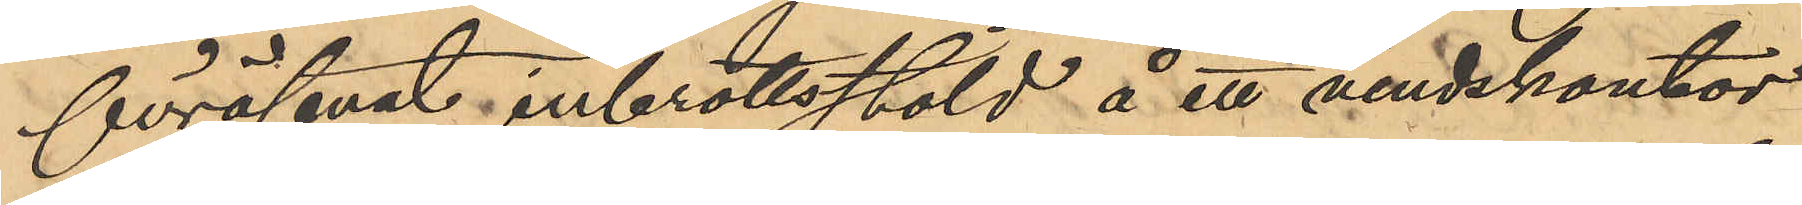föröfvat inbrottsstöld å ett vindskontor
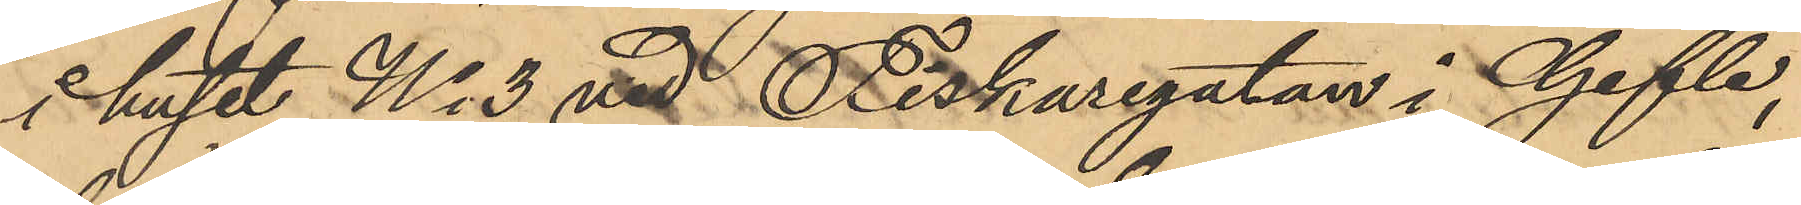i huset No 3 vid Fiskaregatan i Gefle,
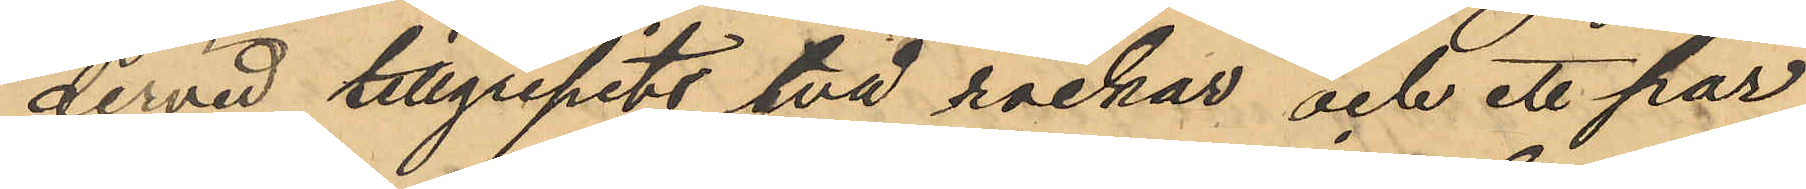dervid tillgripits två rockar och ett par
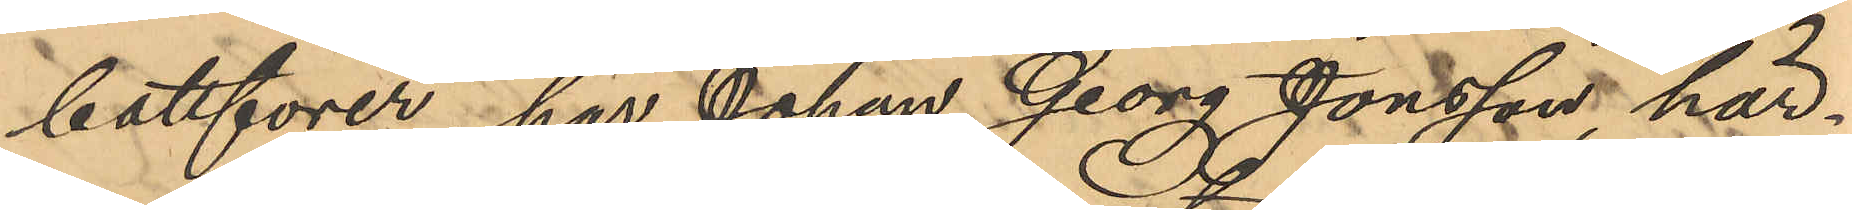bottforer, har Johan Georg Jonsson, här¬
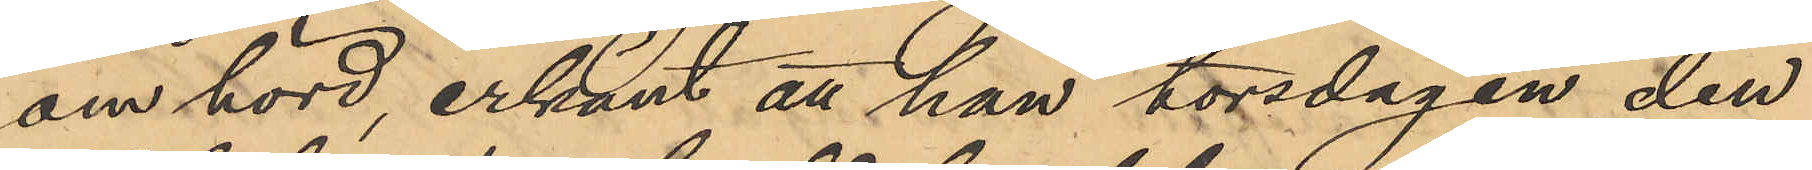om hörd, erkänt att han torsdagen den
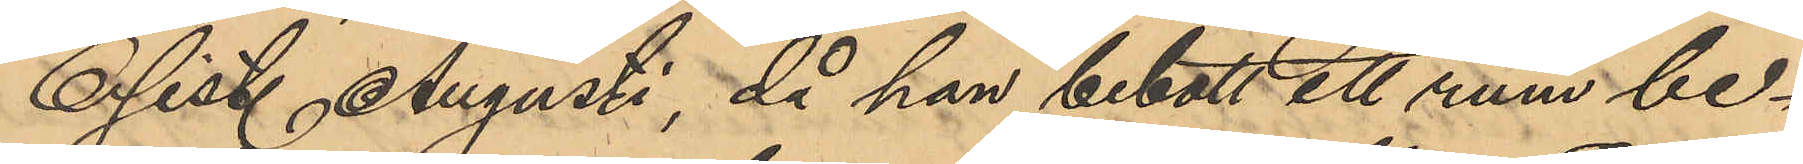6 sist. Augusti, då han bebott ett rum be¬
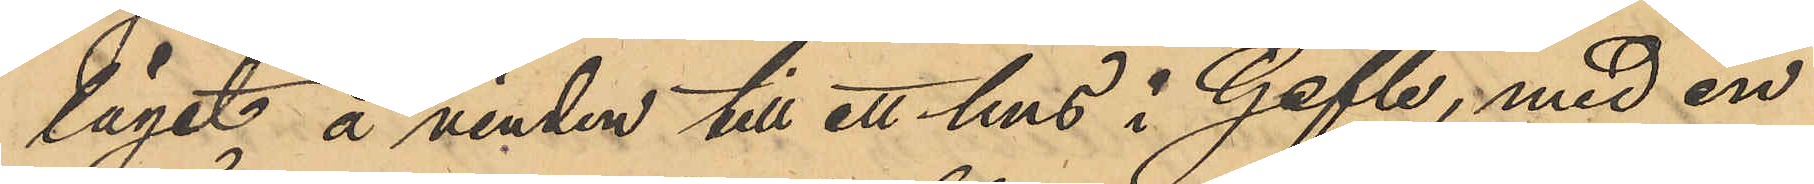läget å vinden till ett hus i Gefte, med en
